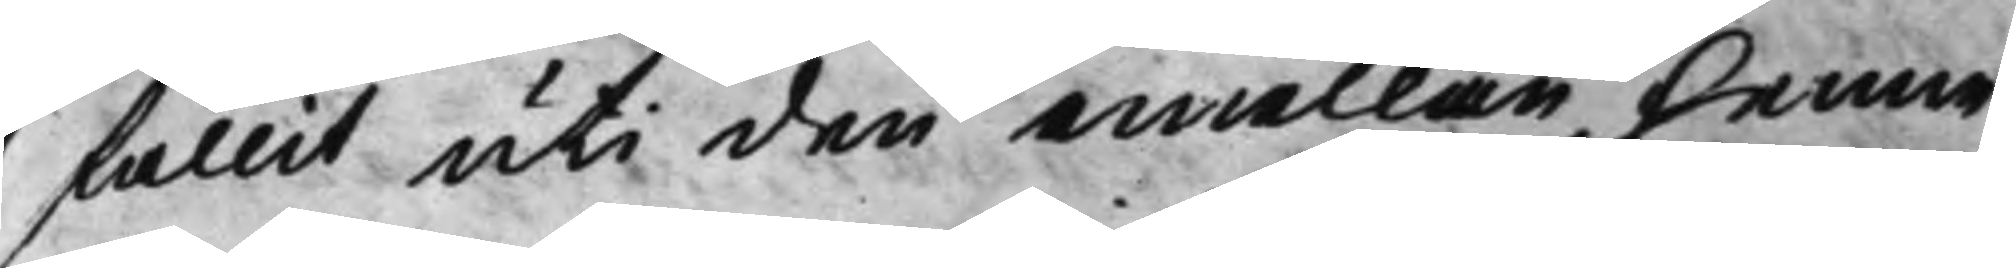fallit uti den emellan henne
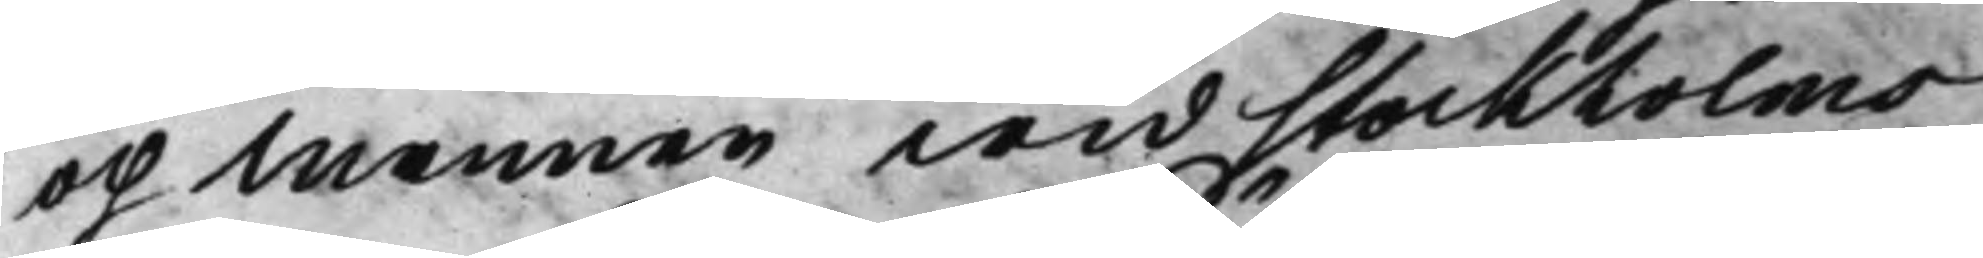och Mannen wid Stockholms
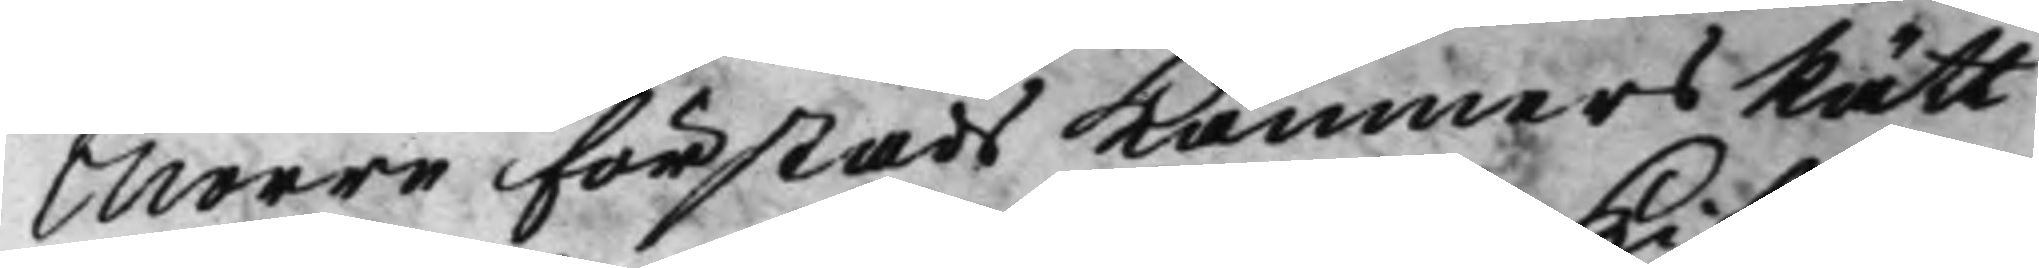Norra Förstads KämnersRätt
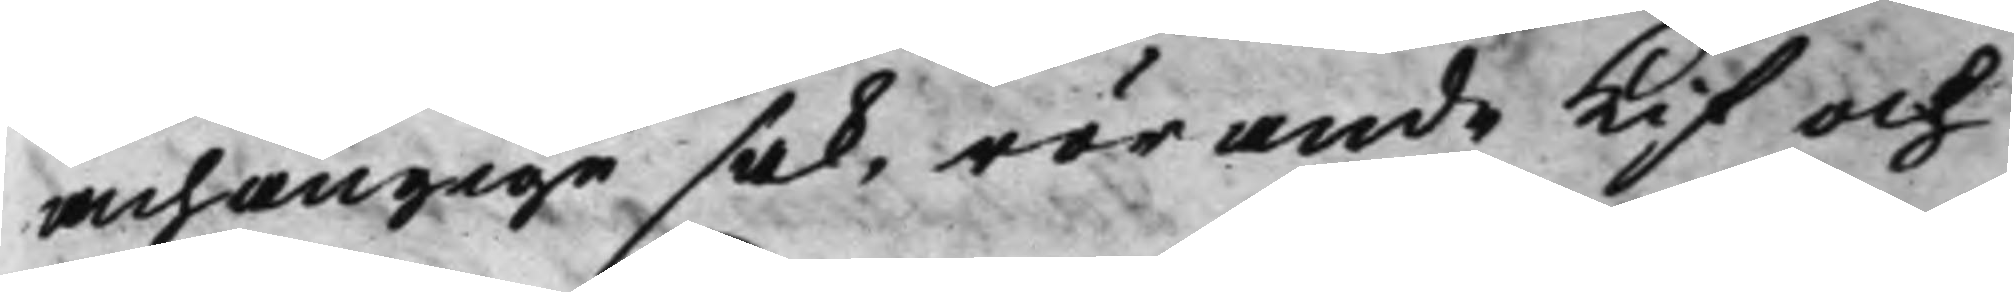avhängige sak, rörande Kif och
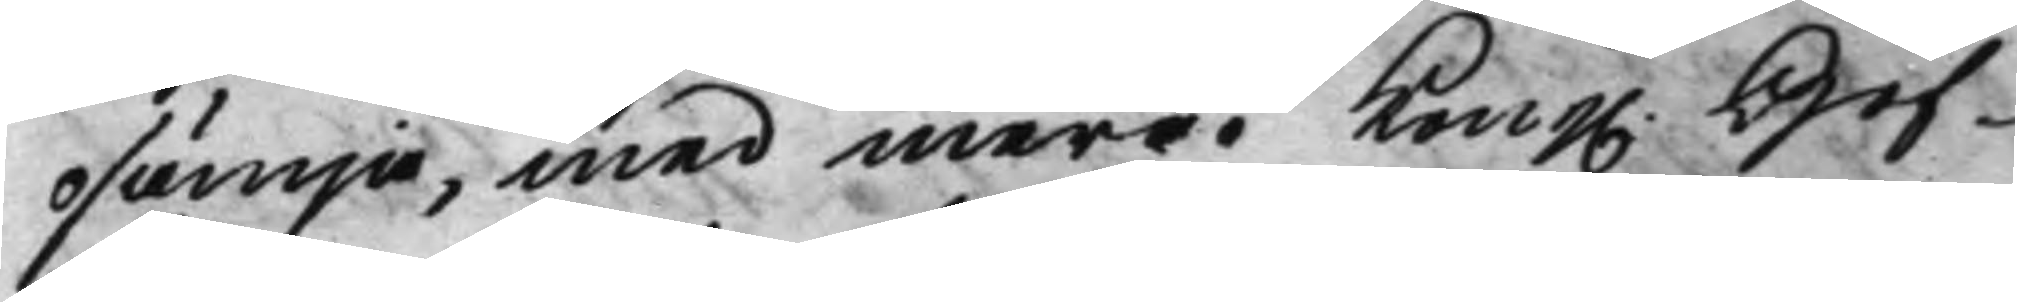osämja, med mera. Kong. Hof¬
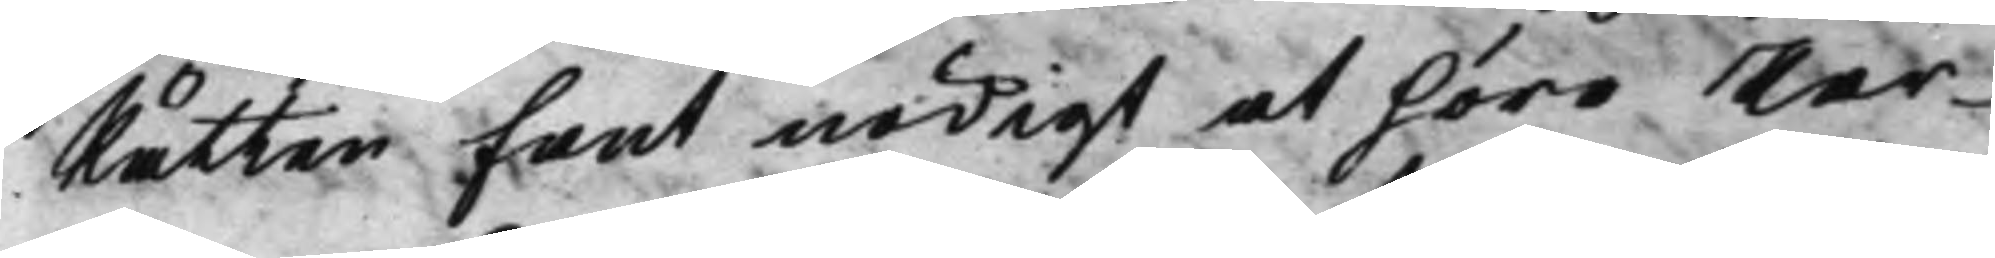Rätten fant nödigt at höra Par¬
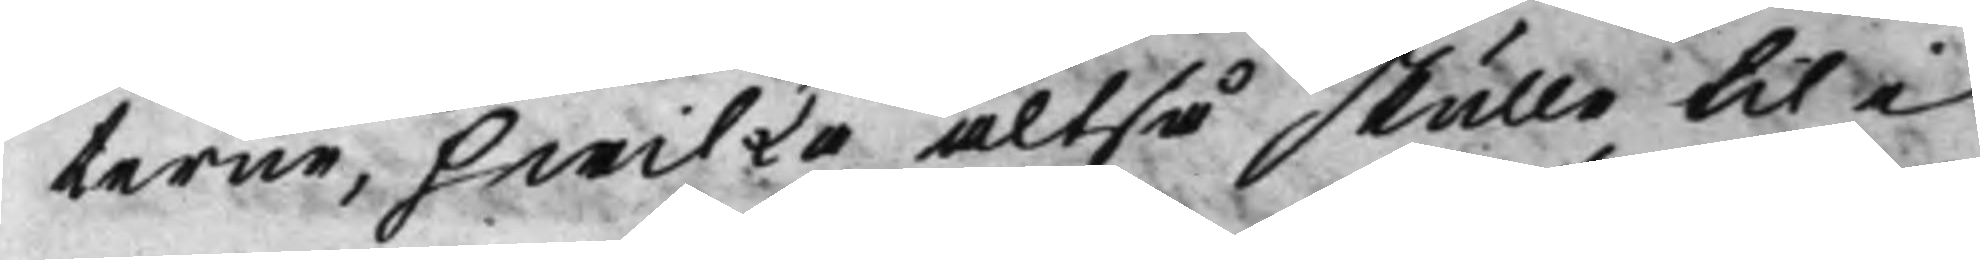terne, hwilka altså skulle til i
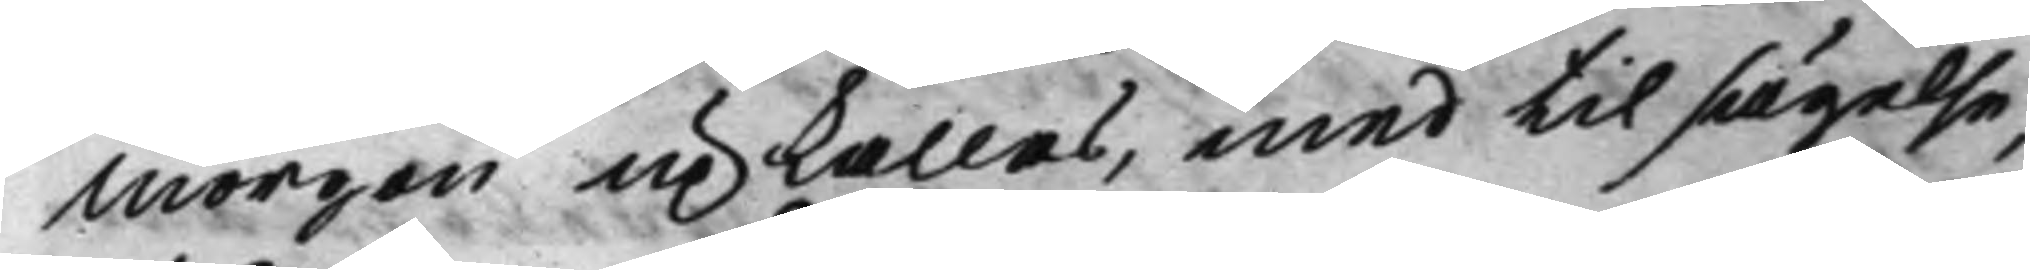morgon upkallas, med tilsägelse,
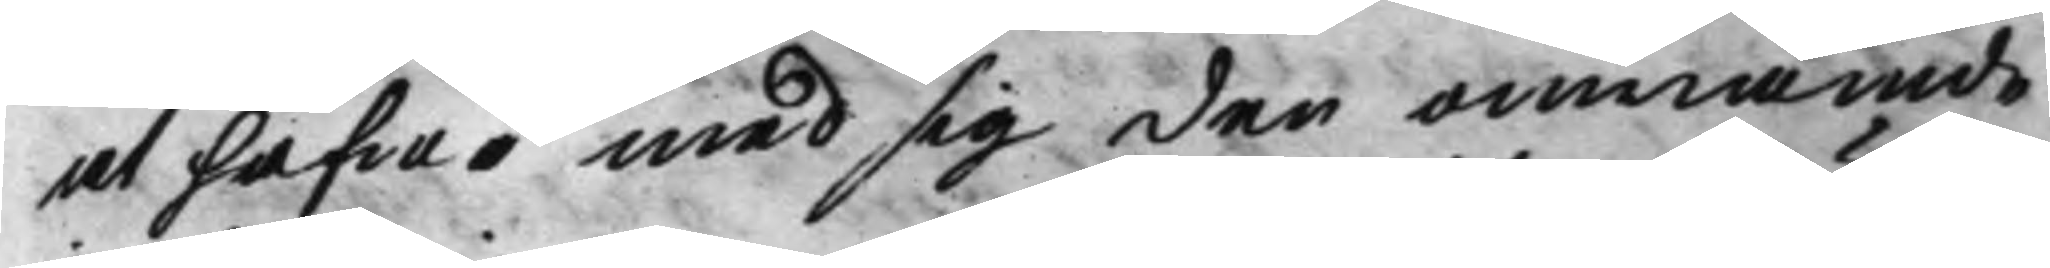at hafwa med sig den omnämde
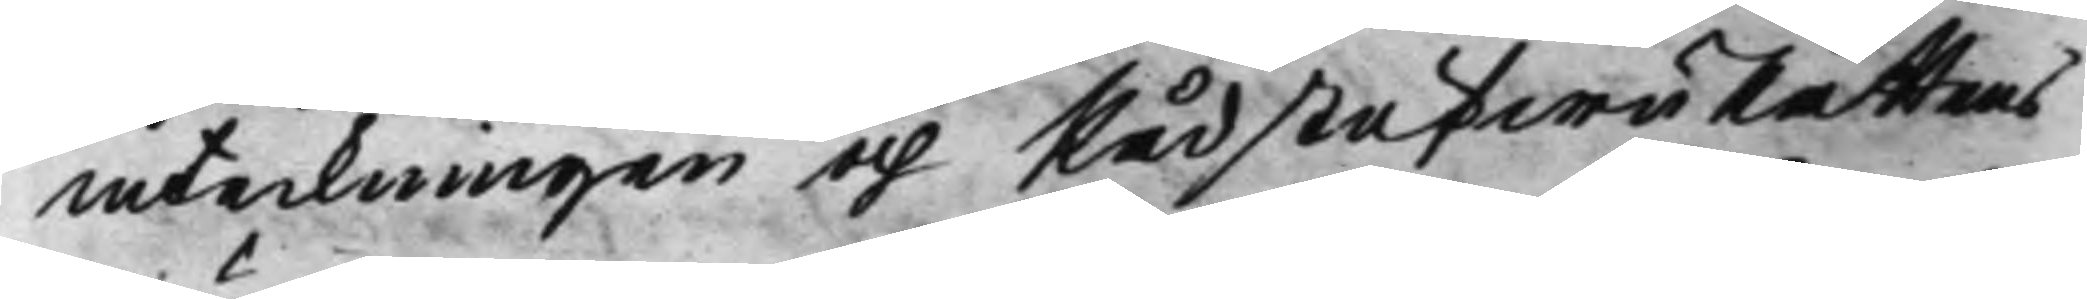inteckningen och RådstufwuRättems
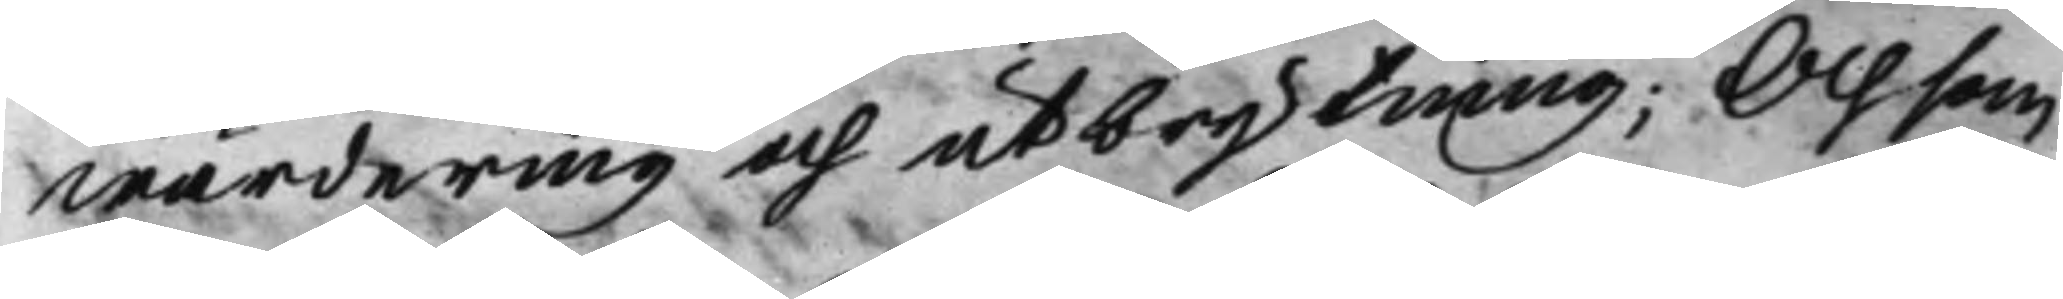wärdering och utbrytning; Och som
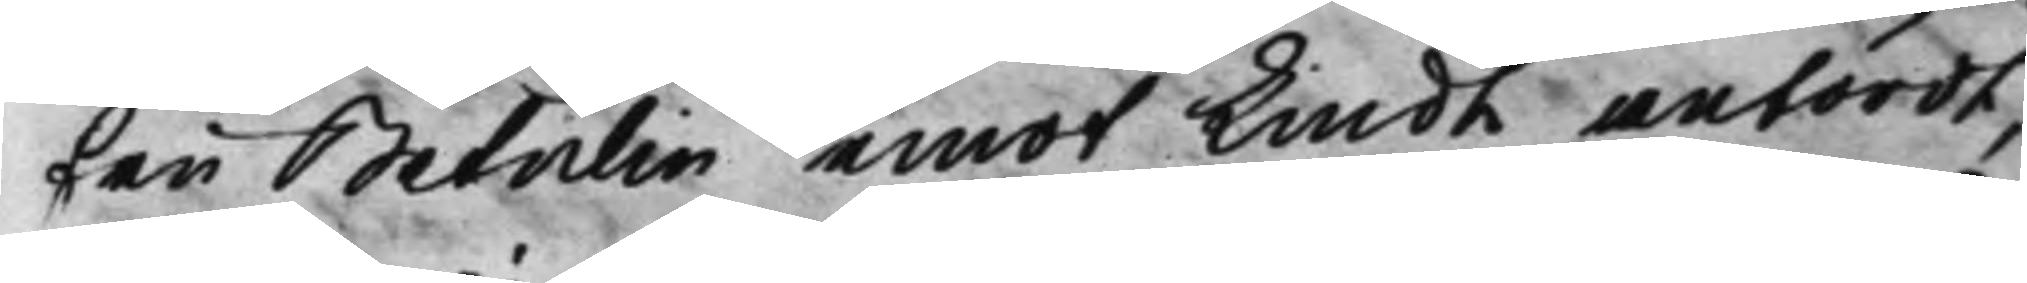Fru Betulin emot Lindh anfördt,
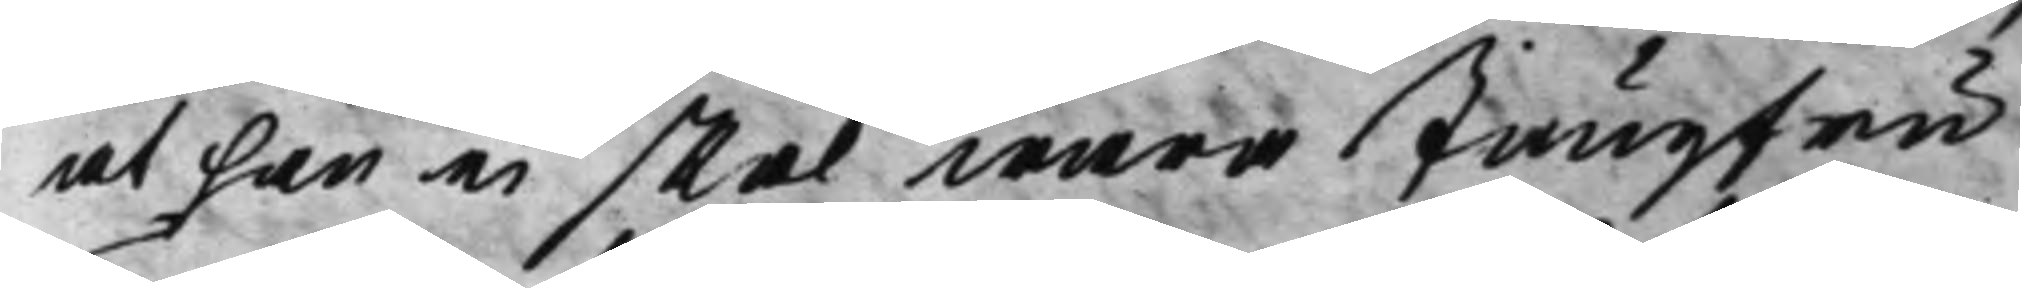at han ei skal wara Jungfru
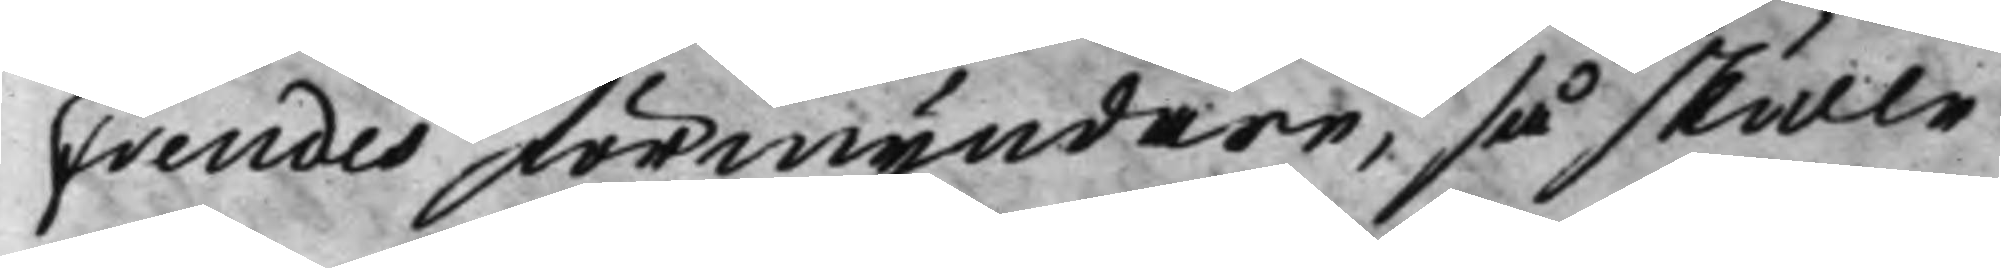Frendes förmyndare, så skulle
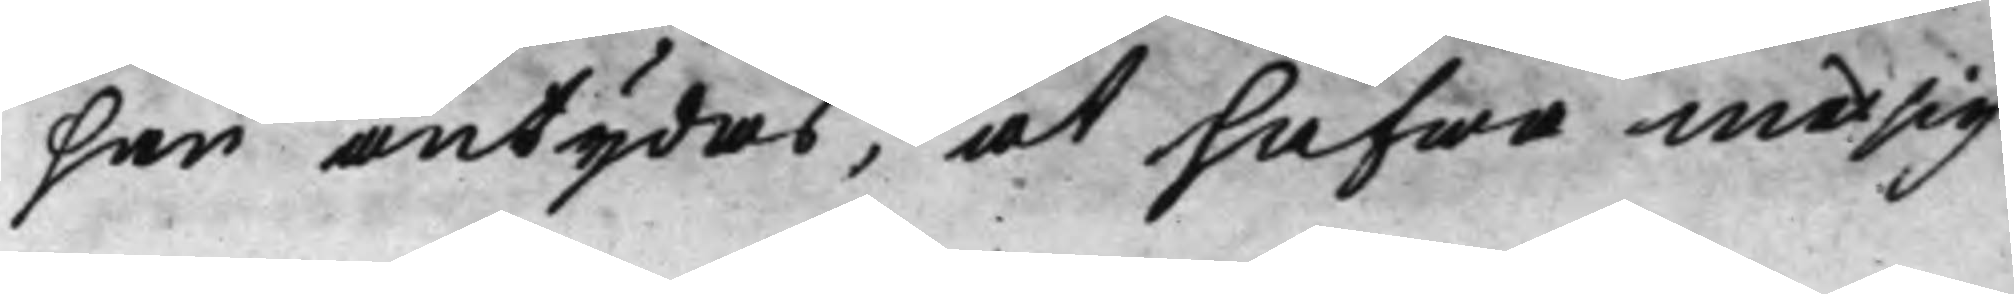han antydas, at hafwa med sig
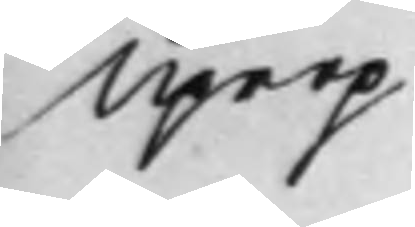Uprop
